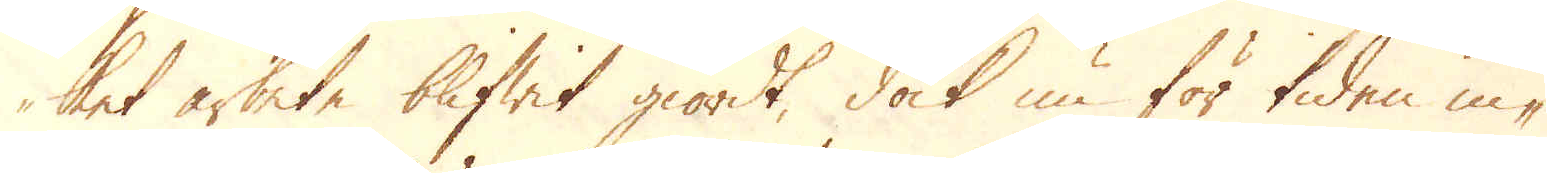ket arbete blifwit giordt, dock nu för tiden in-
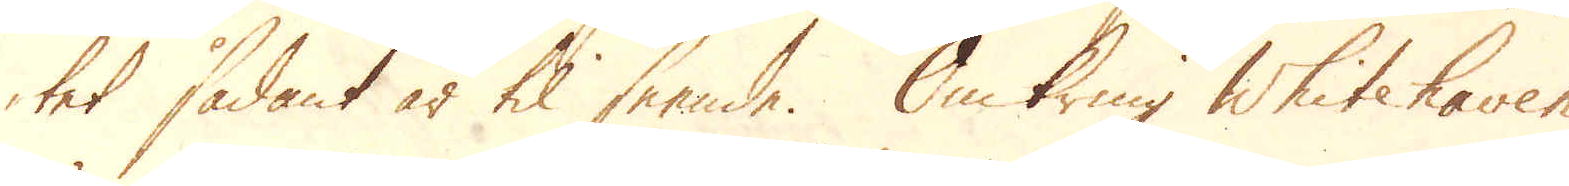tet sådant är til seende. Omkring Whitehaven
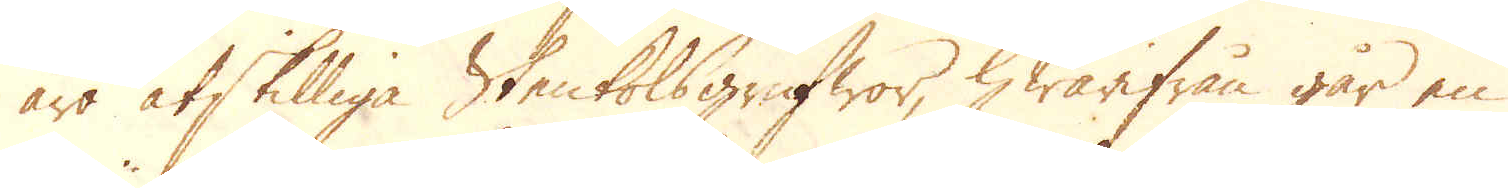äro åtskilliga Stenkolsgrufwor, hwarifrån går en
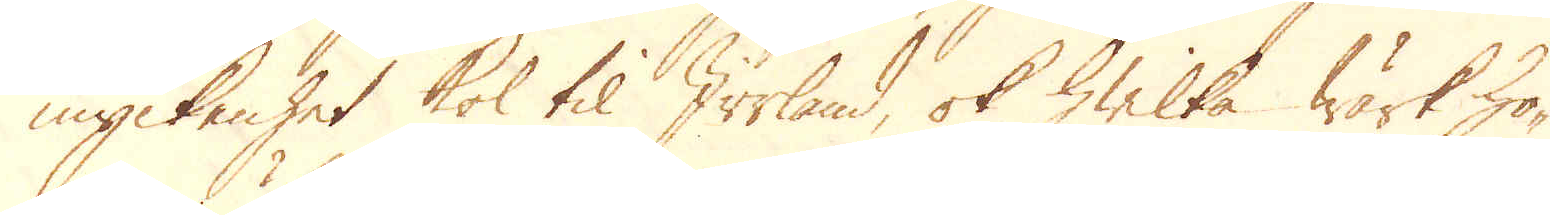myckenhet kol til Irrland, ok hwilka wärk hö-
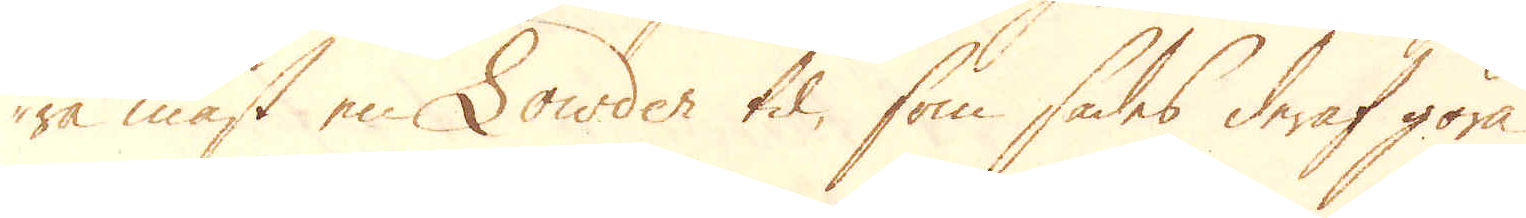ra mäst en Lowden til, som sades deraf göra
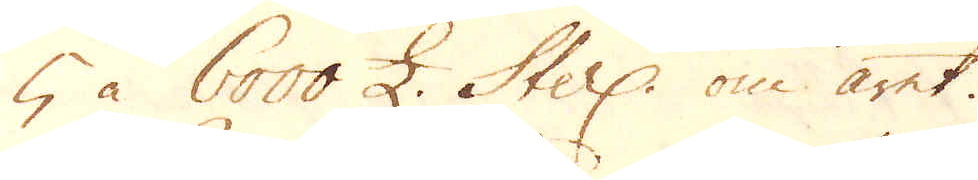5 à 6000 £. Sterl: om året.
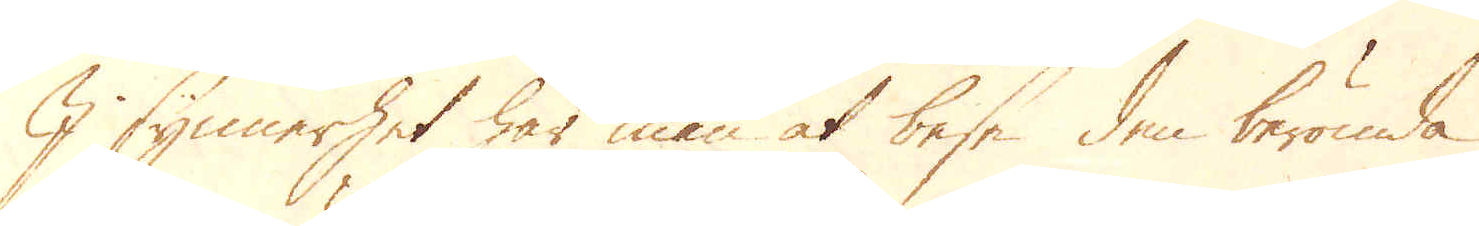I synnerhet har man at bese den berömda
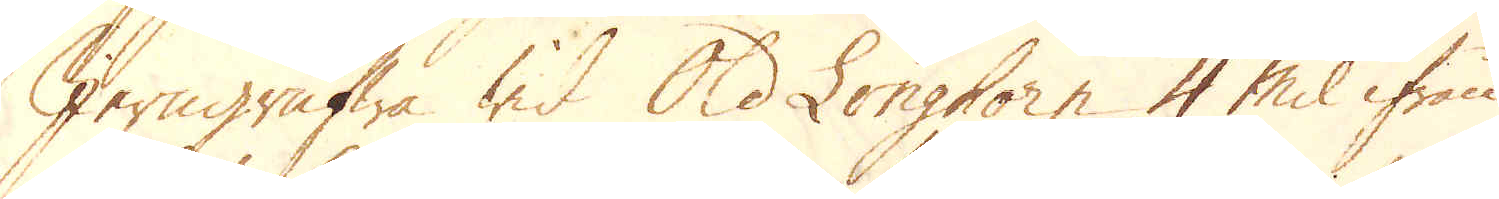Jerngrufwa wid Old Longhorn 4 mil ifrån
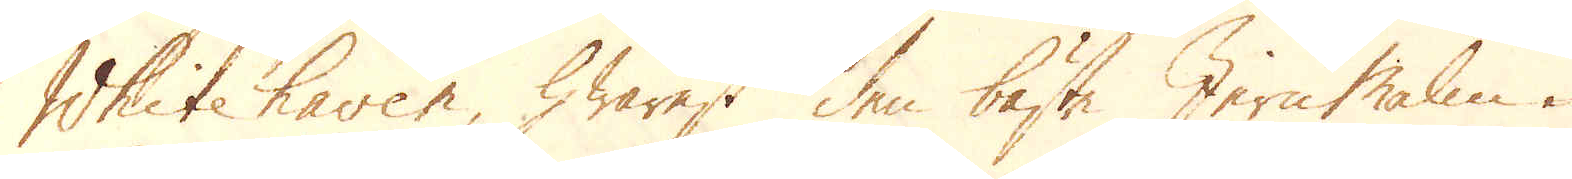Whitehaven, hwarest den bäste Jern Malm i
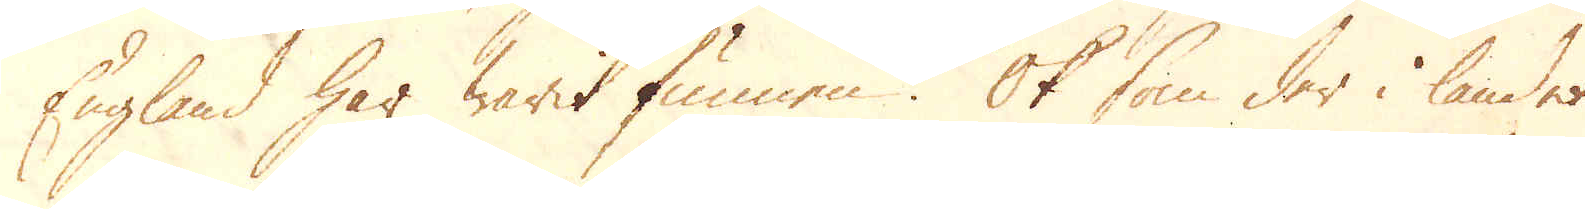England har warit funnen. Ok som der i landet
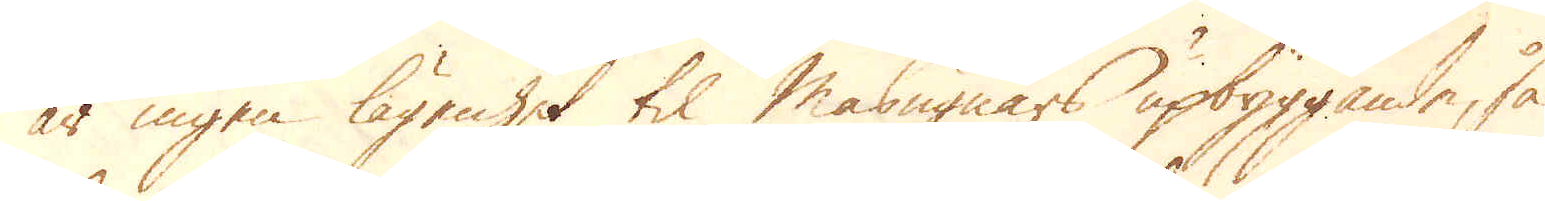är ingen lägenhet til masugnars upbyggande, så
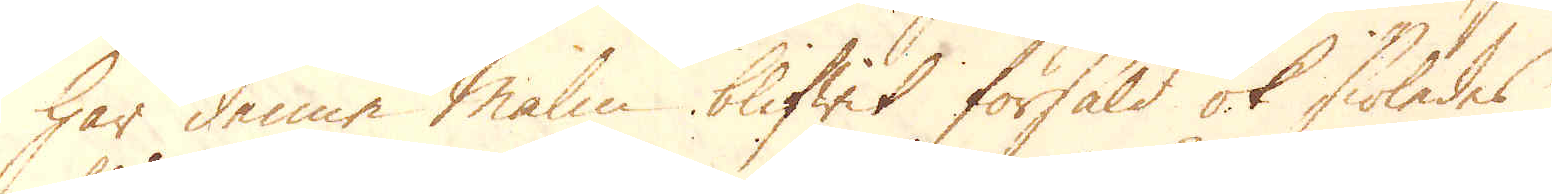har denne Malm blifwit försåld ok siöledes
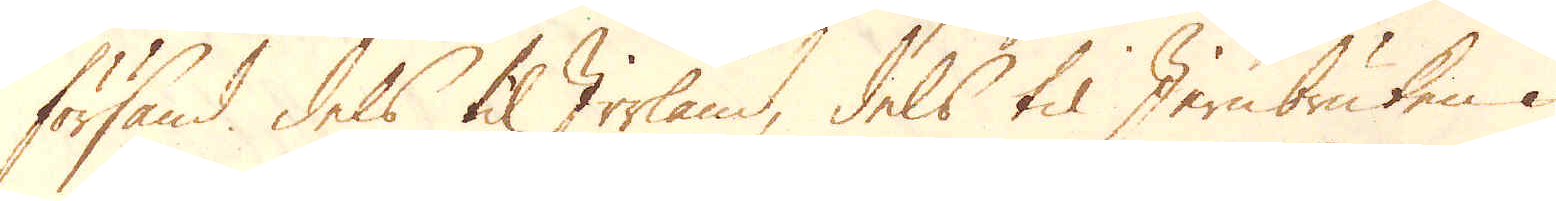försänd dels til Irrland, dels til Jernbruken i
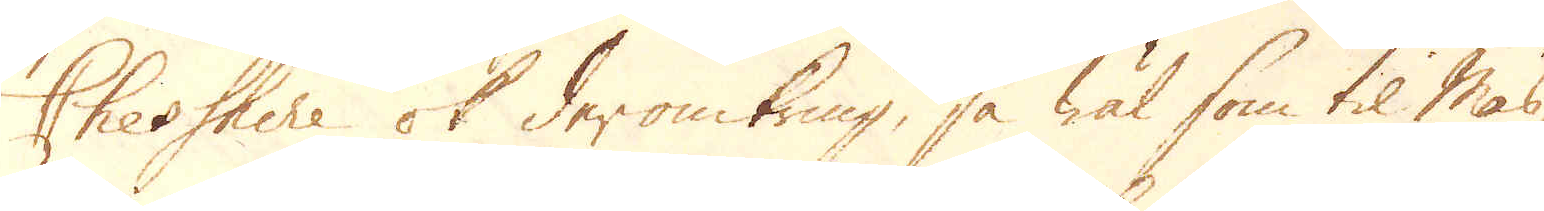Chesshire ok deromkring, så wäl som til Mas-
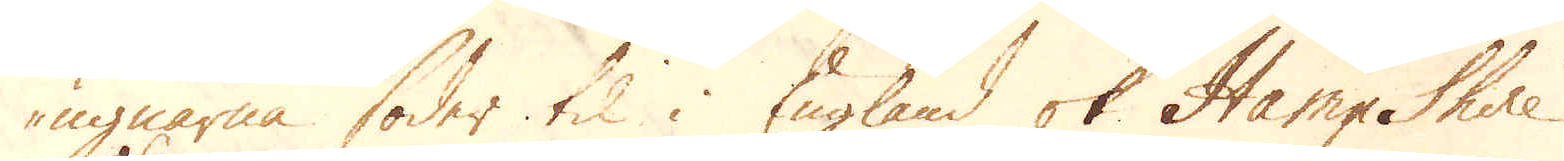ugnarna söder til i England ok Hamp Shire.
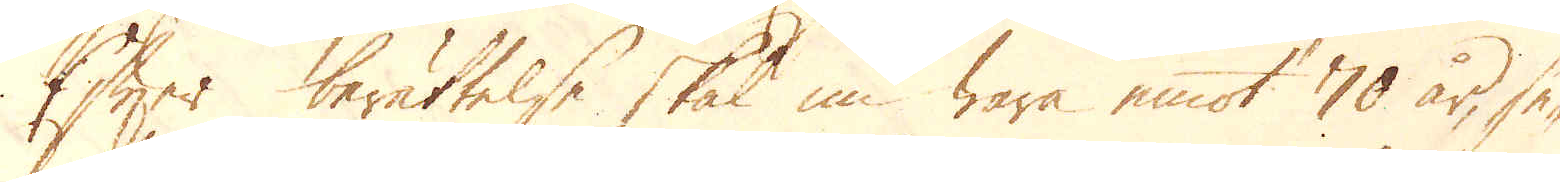Efter berättelse skal nu wara emot 70 år, se-
